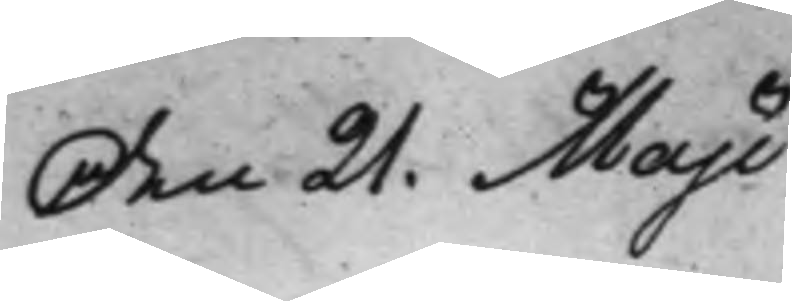Den 21. Maji
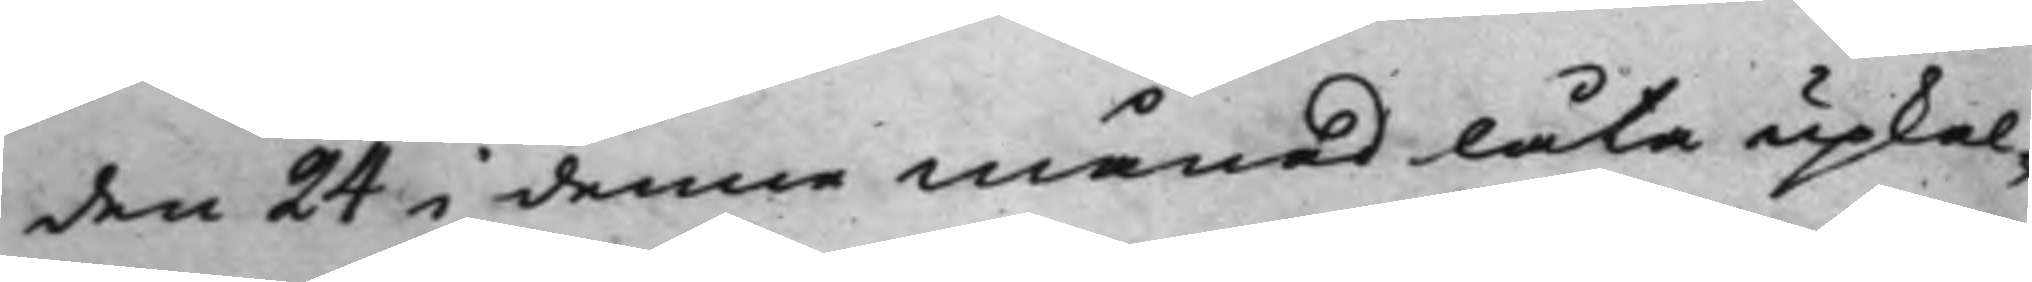den 24 i denne månad låta upkal¬
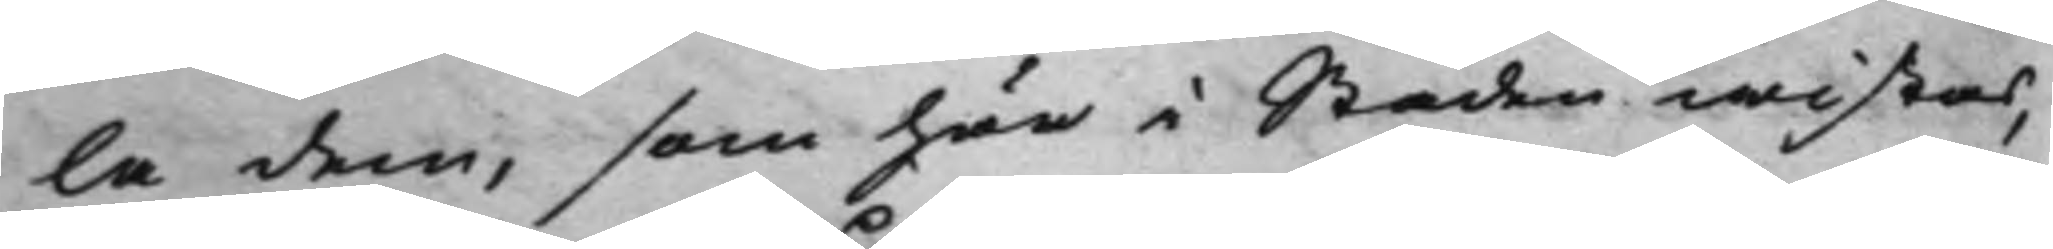la dem, som här i Staden wistas,
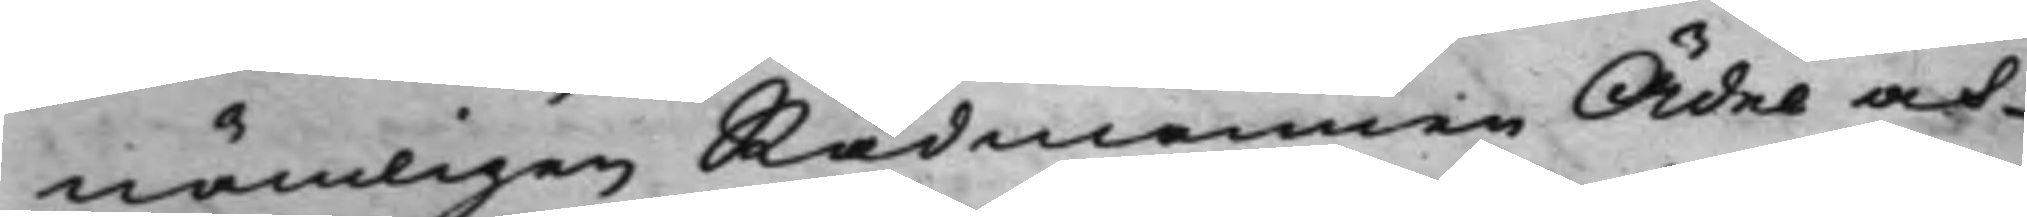nämligen Rådmannen Ädel och
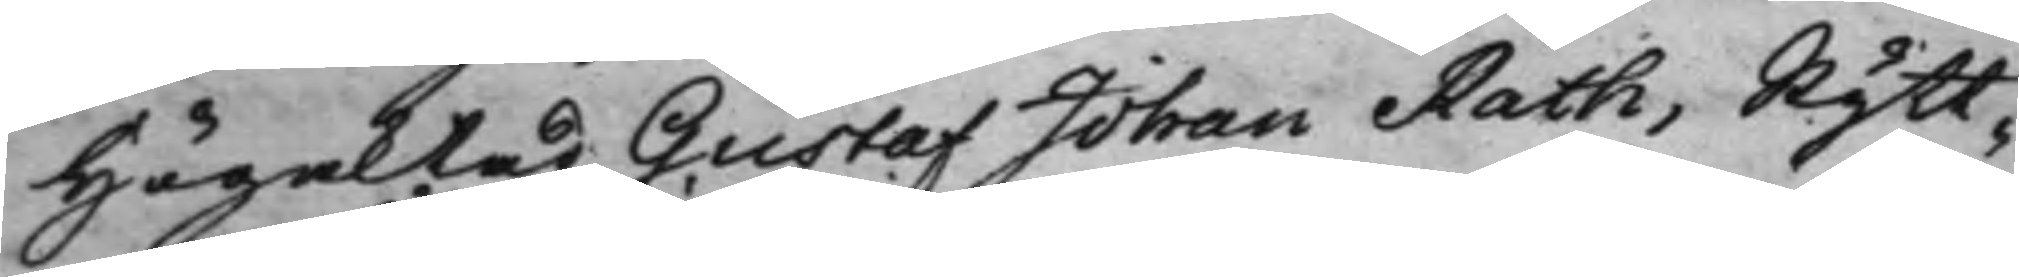Högaktad Gustaf Johan Rath, Rytt¬
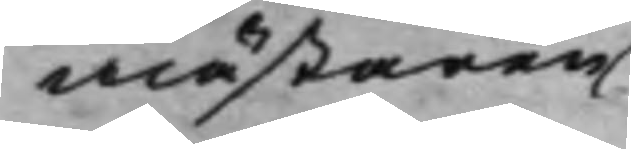mästaren
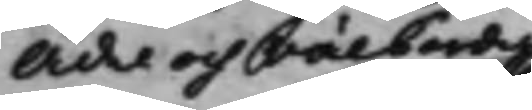Ädel och Välbördig
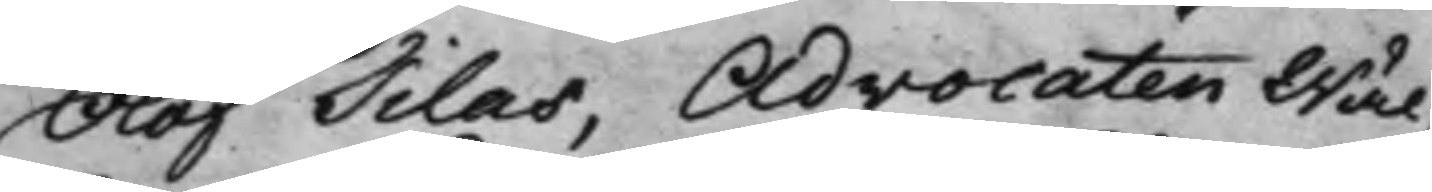Olof Tilas, Advocaten Wäl¬
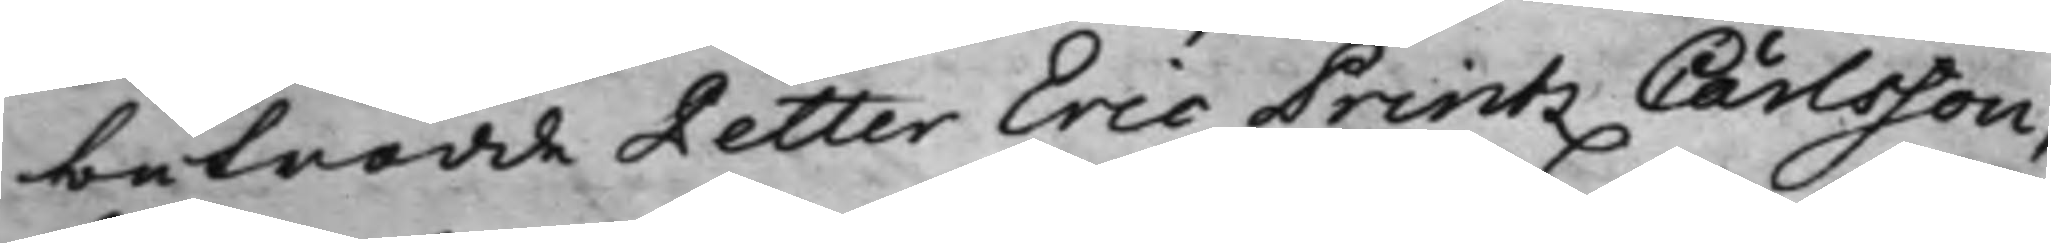betrodde Petter Eric Printz Carlsson,
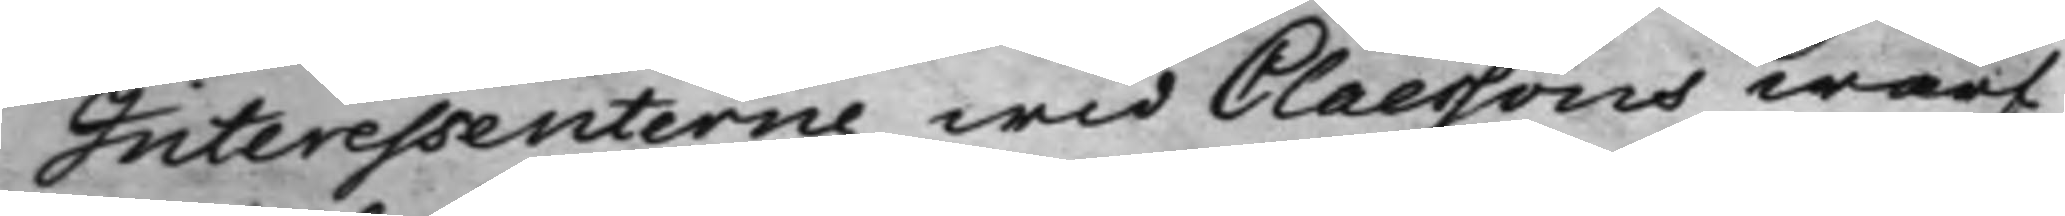Interessenterne wid Claessons warf,
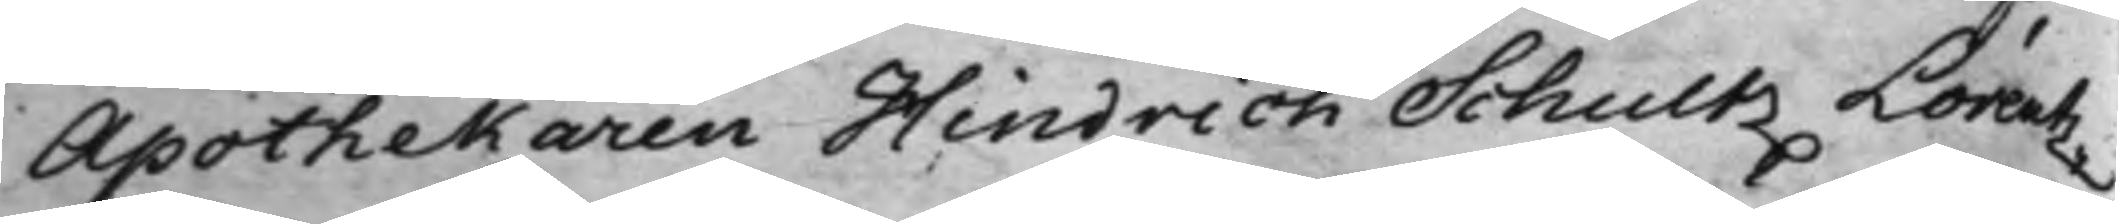Apothekaren Hindrich Schultz Lorentz¬
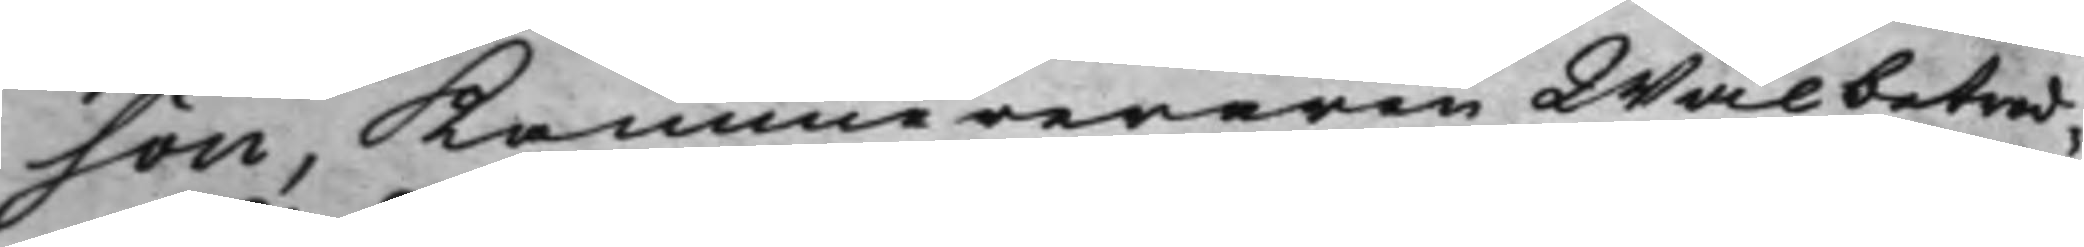son, Kammereraren Wälbetrod¬
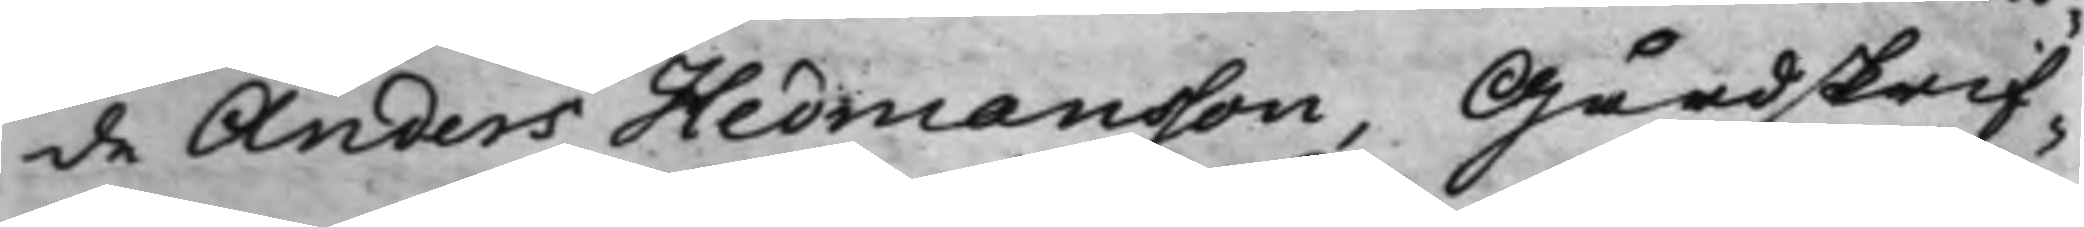de Anders Hedmansson, Gårdskrif¬
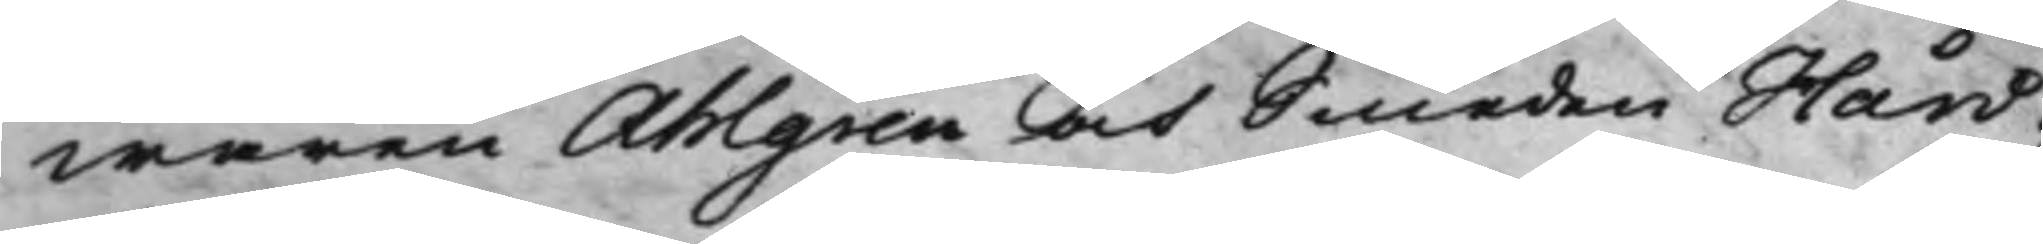waren Ahlgren och Smeden Hård;
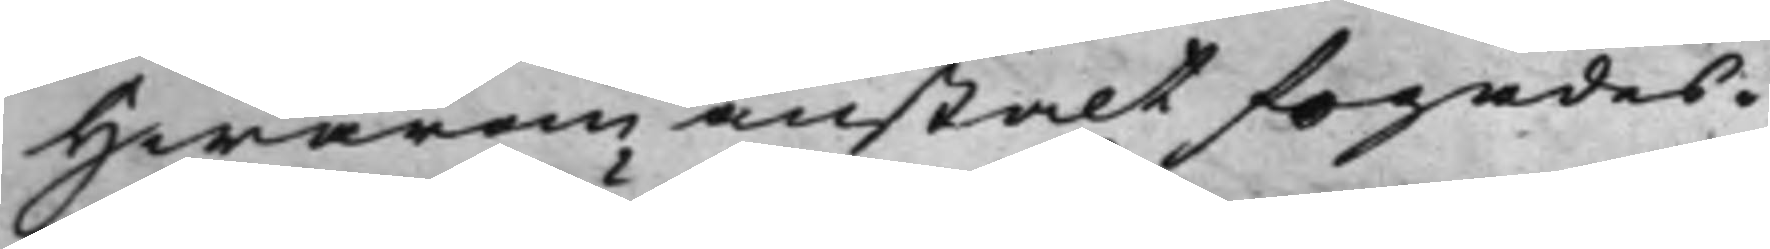Hwarom anstalt fogades.
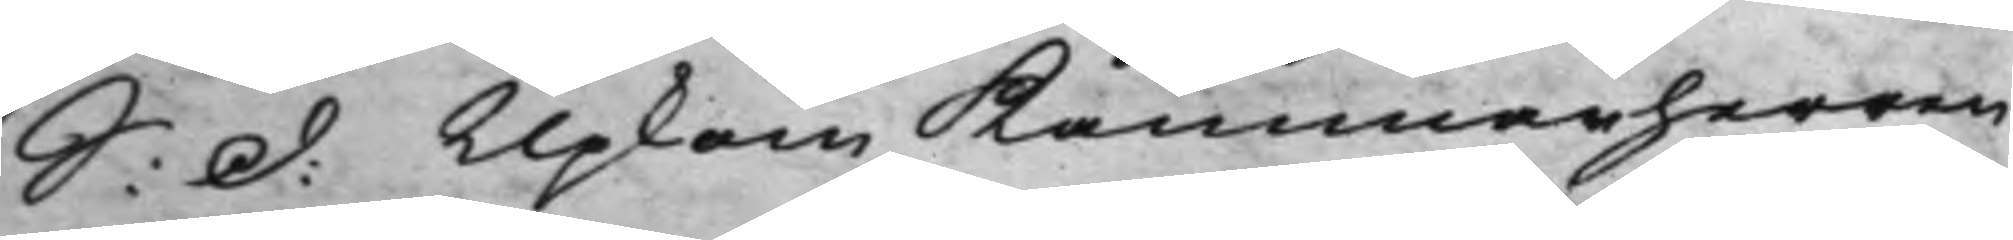S: d: Upkom Kammarherren
